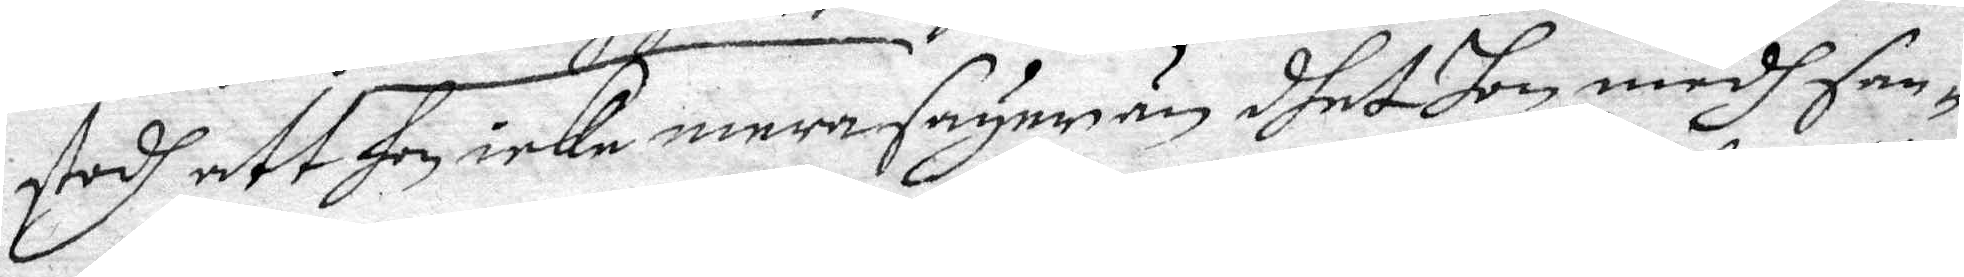stodh att hon icke mera säyer än dhet hon medh san¬
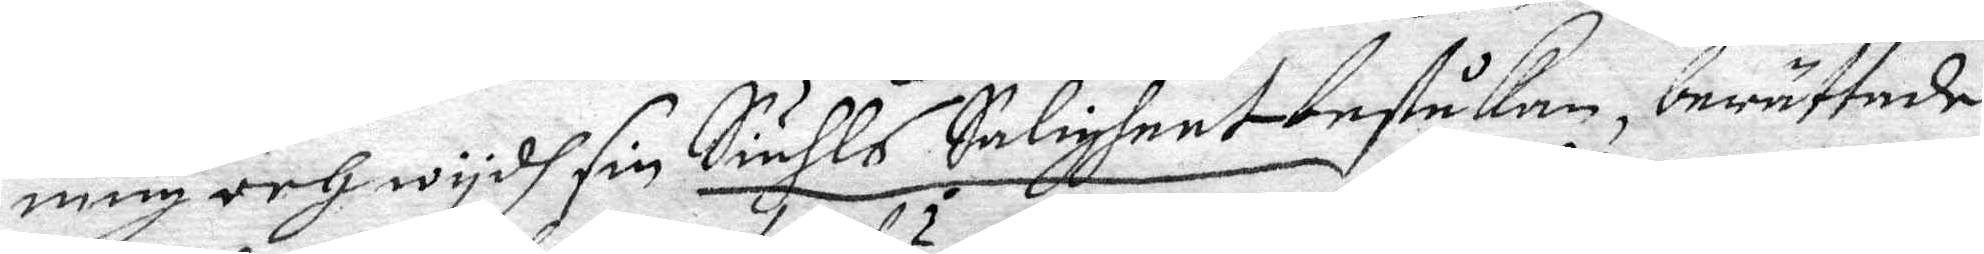ning och wydh sin Siähls Saligheet beståkan, berättade
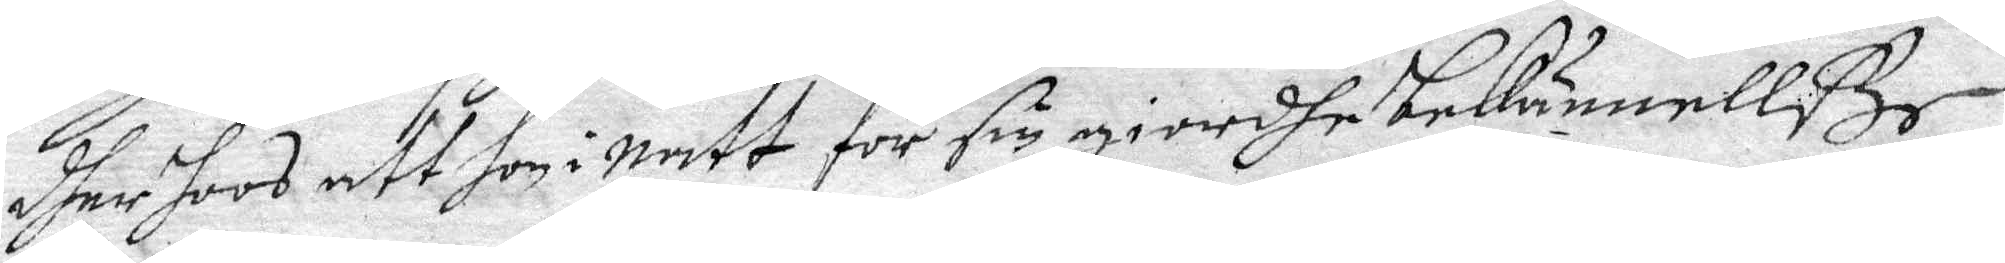dher hoos att hon i natt för sin giordhe bekännellße
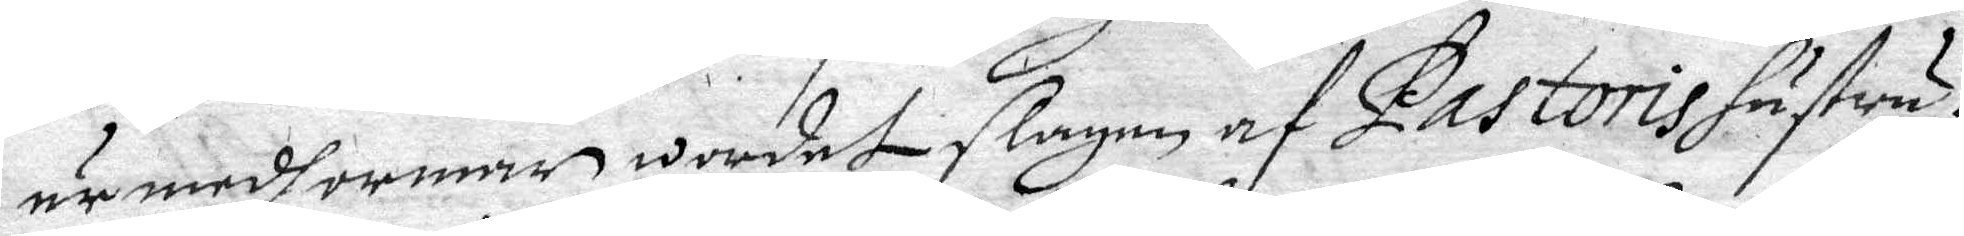är medh ormar wordet slagen af Pastoris hustru;
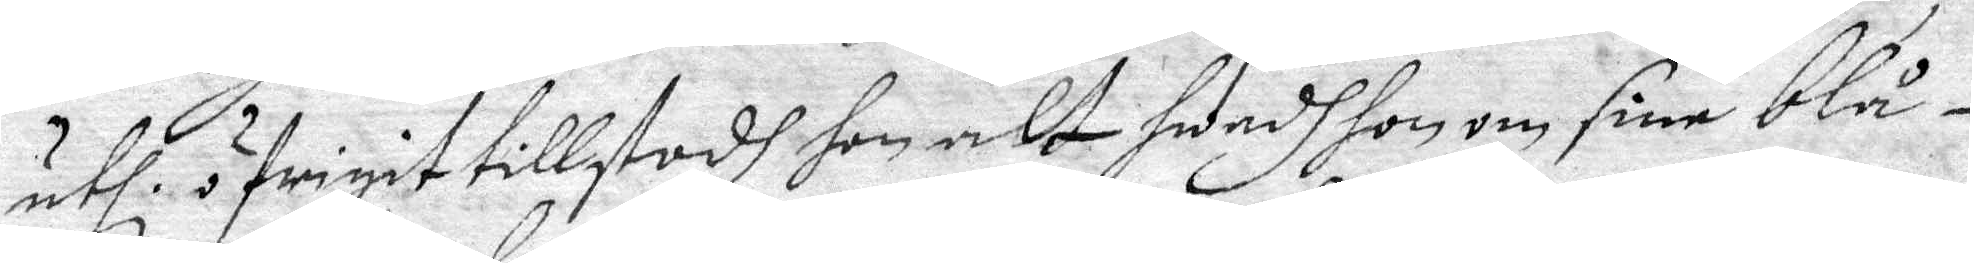uthi öfrigit tillstodh hon alt hwadh hon om sine blå¬
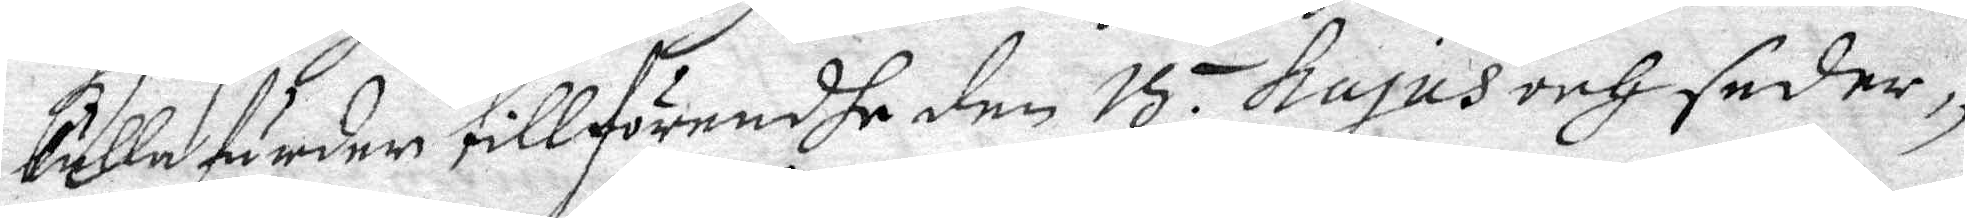kullafärder tillförendhe den 15 hujus och seder¬
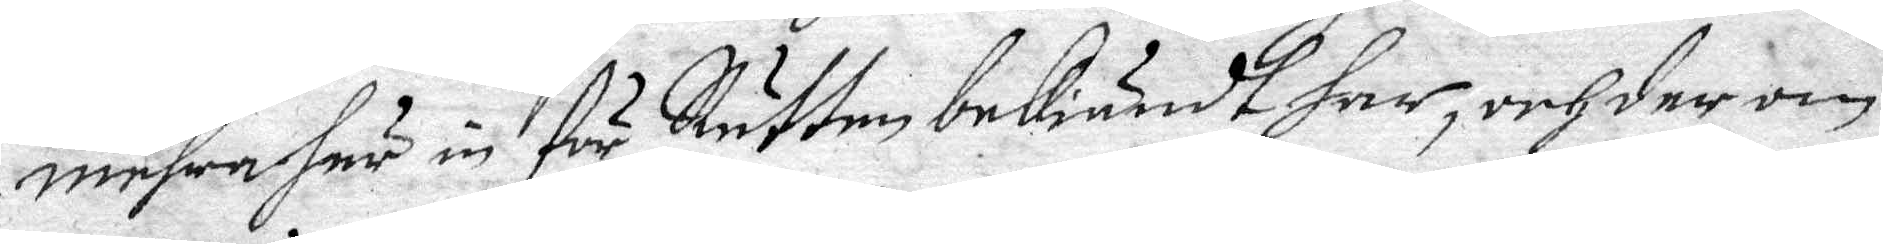mehra här in för Rätten bekiändt har, och der om
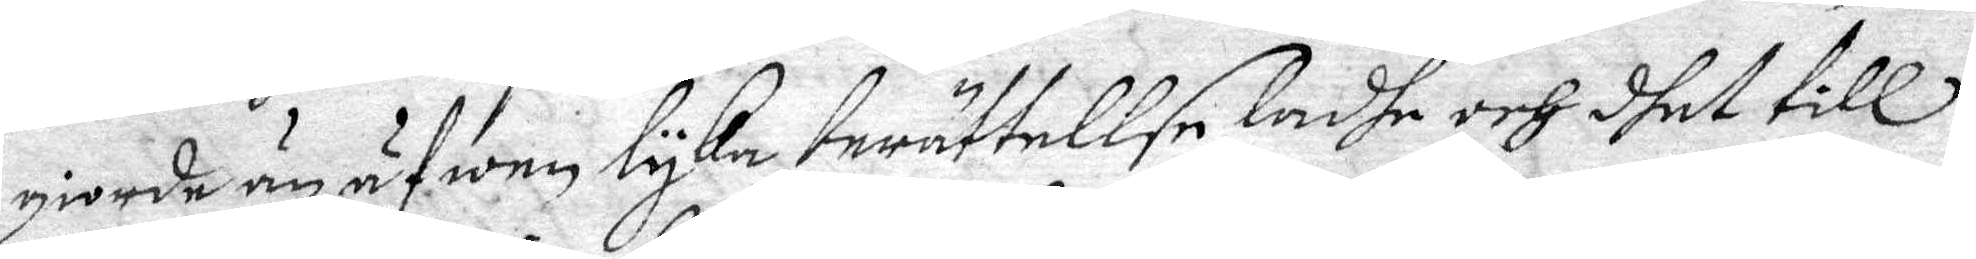giorde än äfwen lyka berättelse, ladhe och dhet till
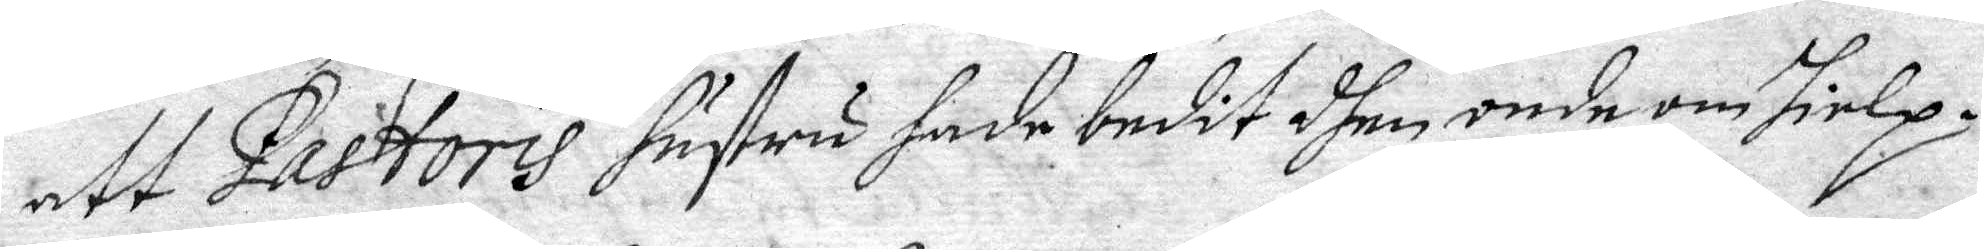att Pastoris hustru hade budit dhen onde om hiep.
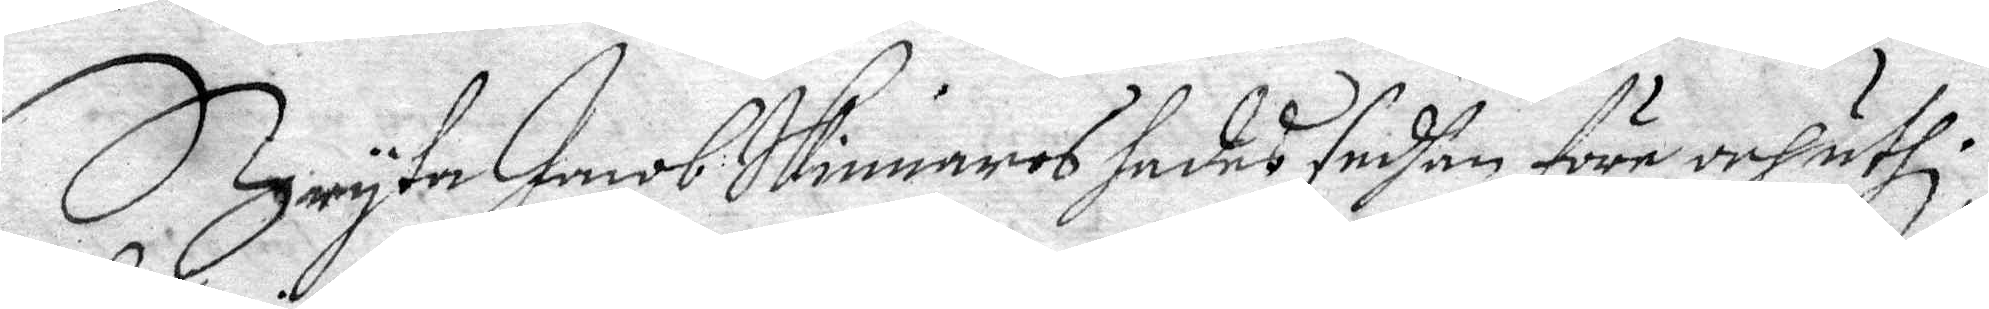Bryta Jacob Skinnars sades sedhan före och uthi
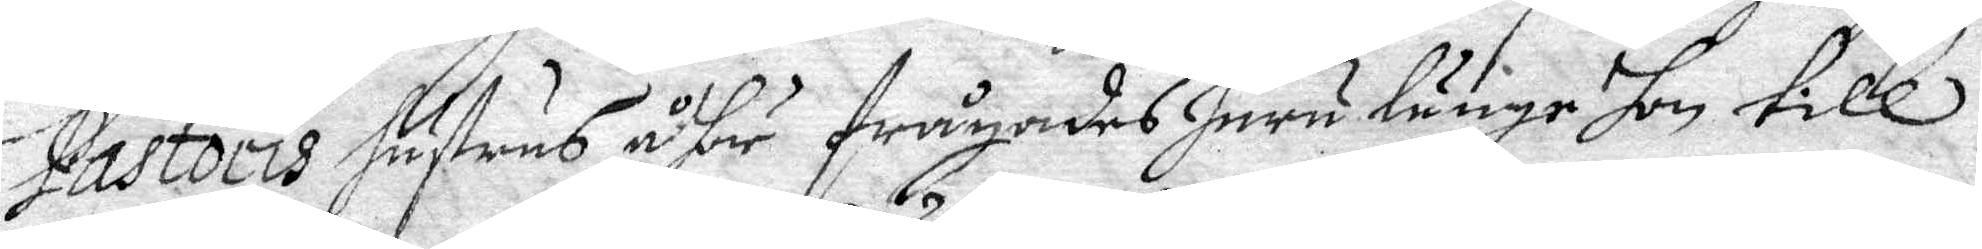Pastoris hustrus åhör frågades huru länge hon till
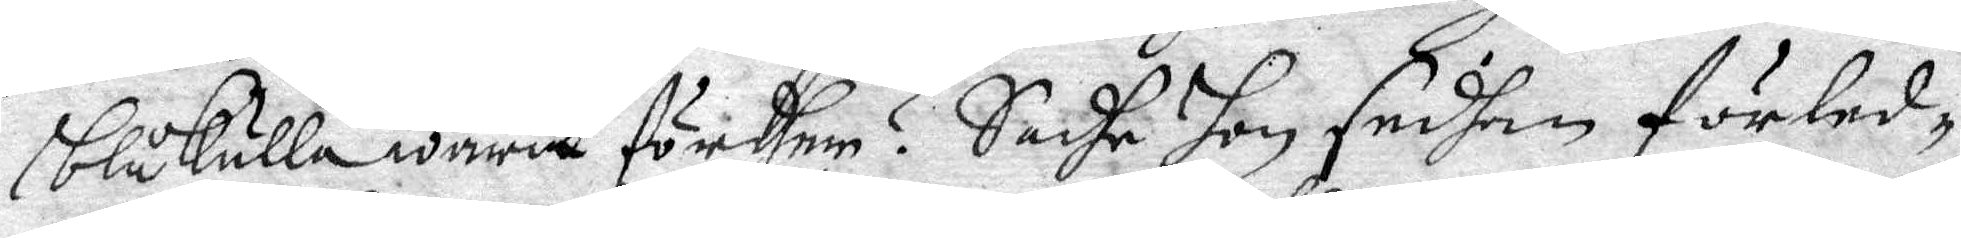blåkulla warit fördher? Sade hon sedhan förled¬
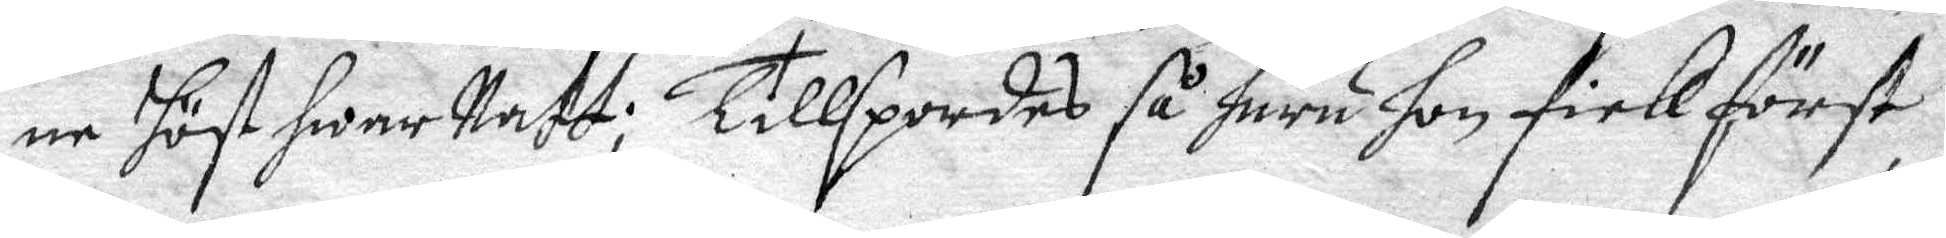ne höst hwar Natt; Tillspordes så huru hon fick först
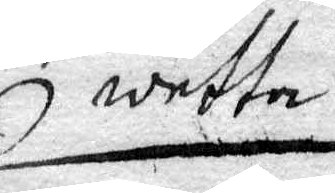wetta
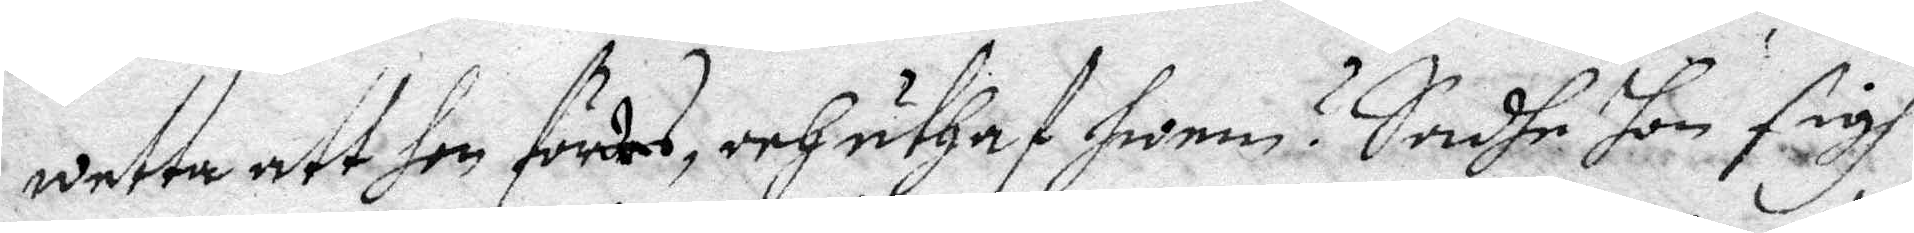wetta att hon fördes, och uthaf hwem? Sadhe hon sigh
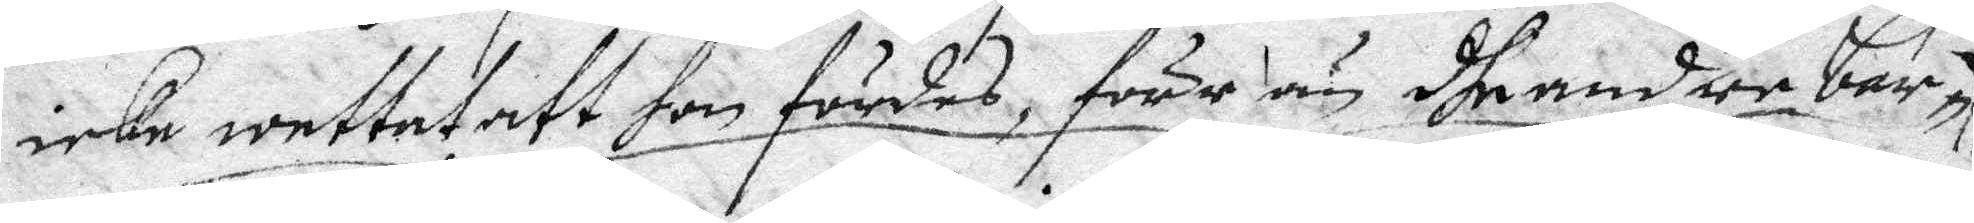icke wettat att hon fördes, förr än dhe andre bar¬
